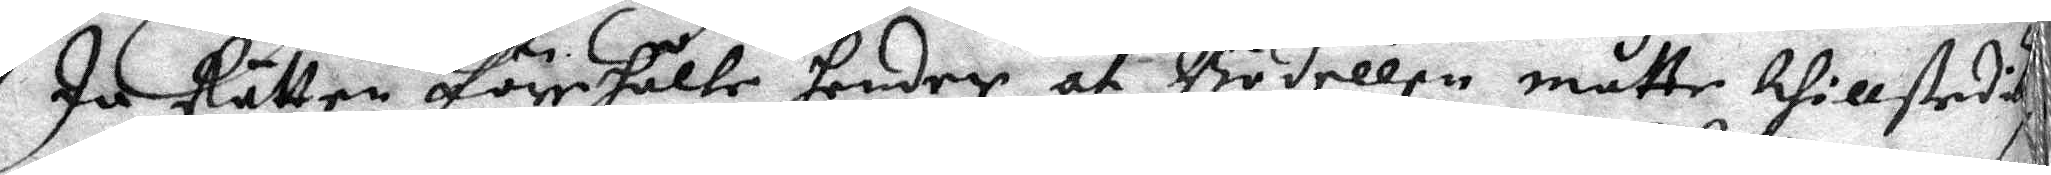Ju Rätten förehålle hender at Bödellen måtte thillstedig
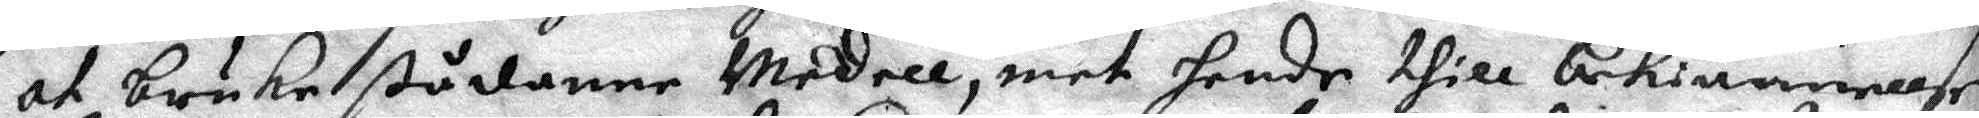at bruka ßådanne Medell, mot hende thill bekiännellse
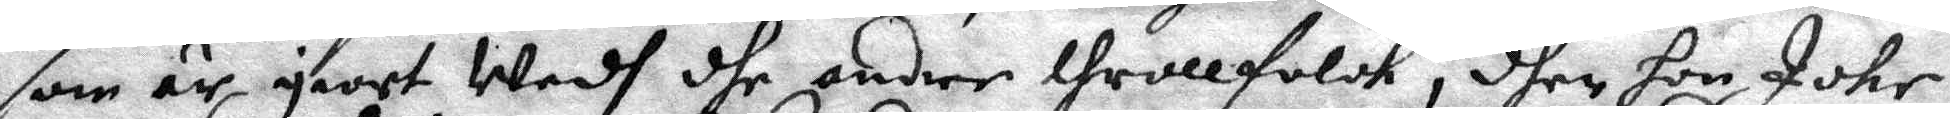som är giort Wedh dhe andre throllfolck, dher hon Icke
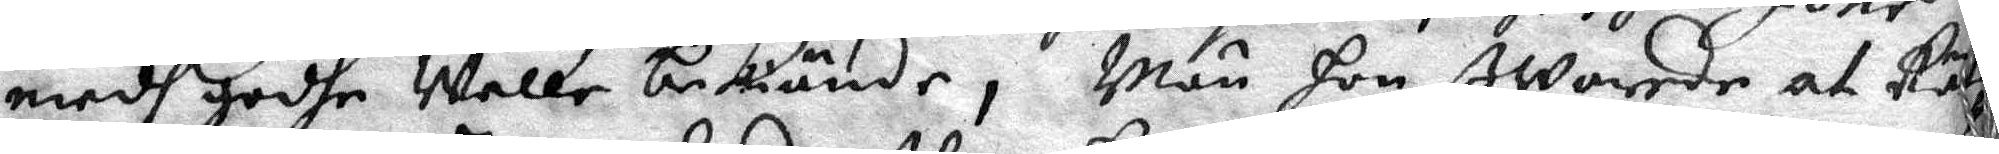medh godhe Welle bekiände, Män hon Swarede at Rät¬
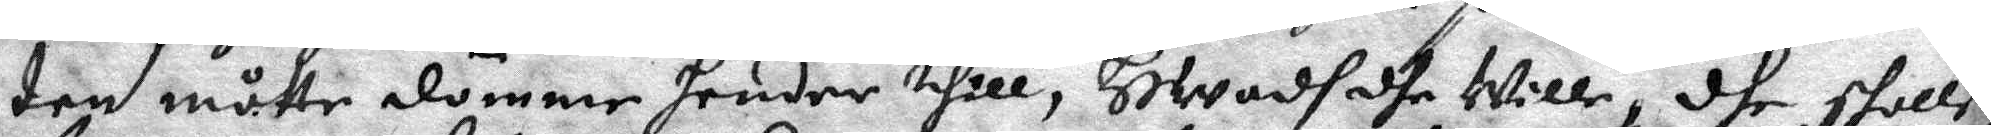ten måtte dömme hender thill, HWadh dhe wille, dhe skolle
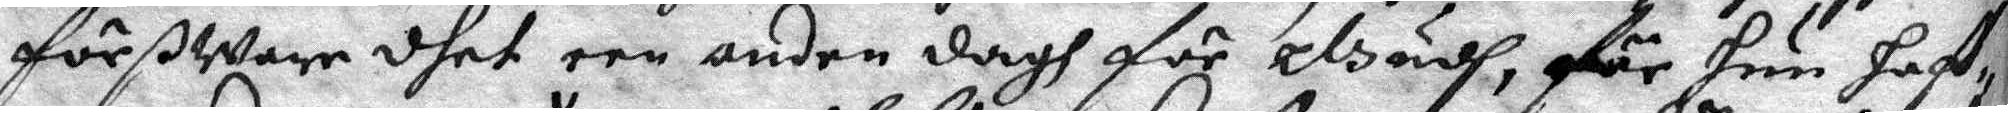förßWare dhet een anden dagh för Gudh, för hun haff¬
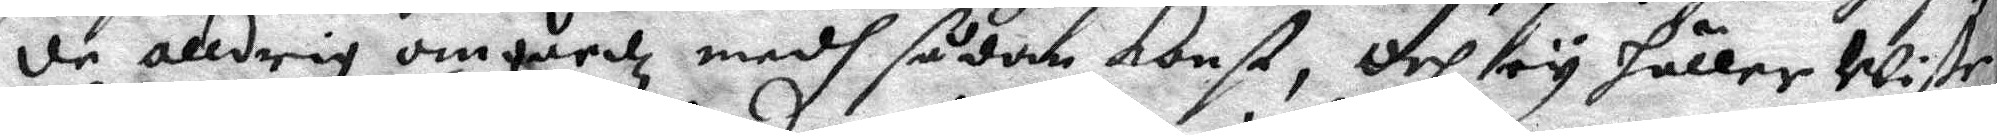de alldrig omgåedz medh sådan Konst, Och ey häller Wiste
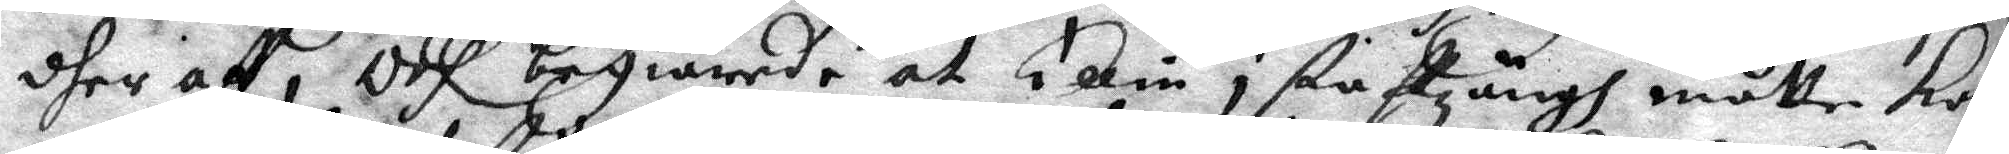dher aff, Och begiärede at Ellin i staffzängh måtte kom¬
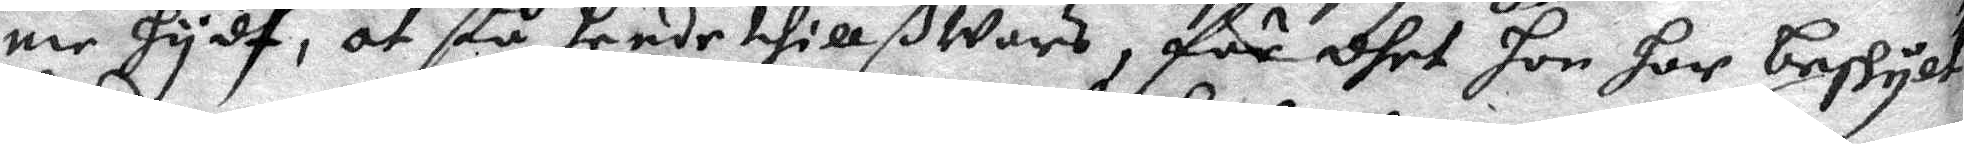me hydf, at stå hende thillßwars, för dhet hon har beskylt
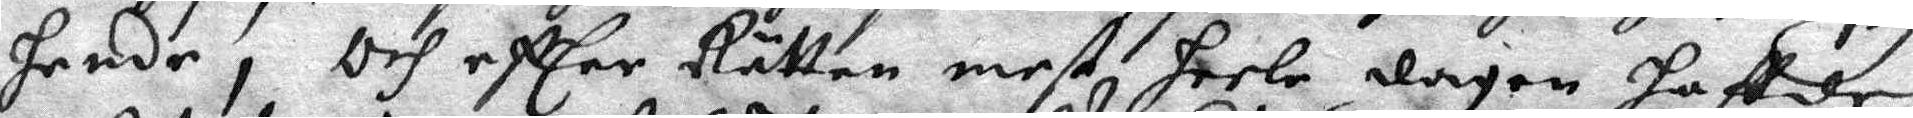hende, Och effter Rätten mest heele dagen haffde
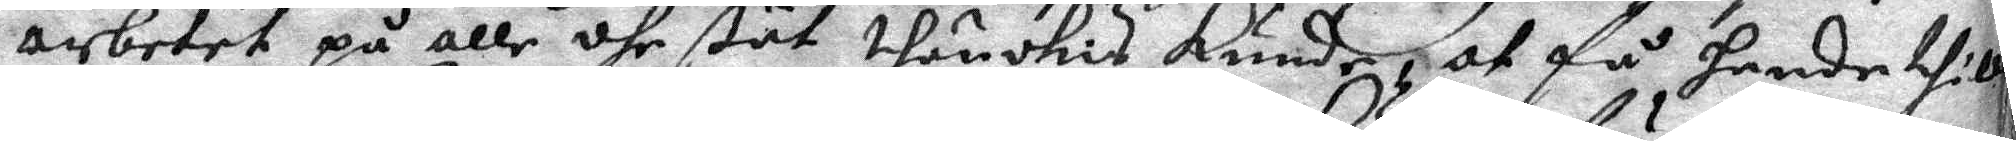arbetet på alle dhe ßät thänckas kunde, at få hende thill
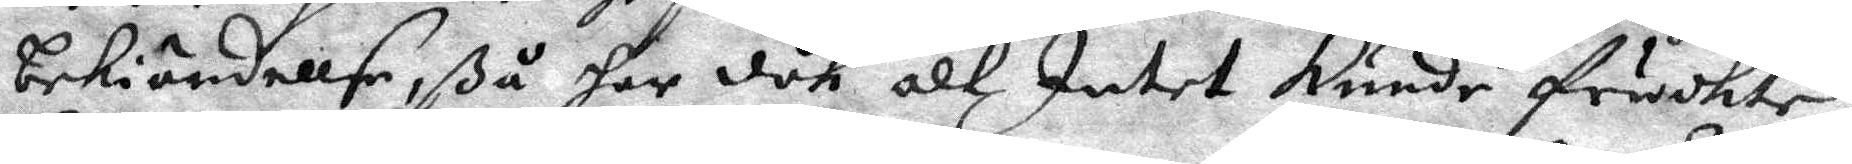bekiändellse, så har dök allz Intet kunde fruchte,
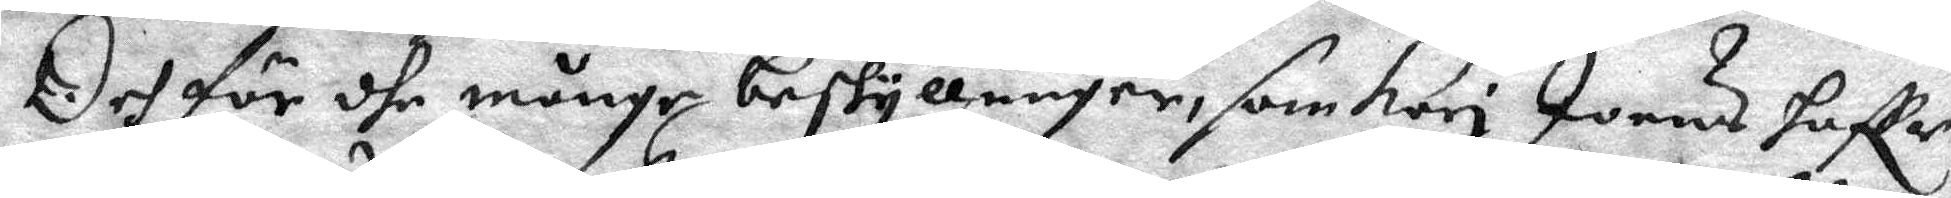Och för dhe månge beskyllninger, som Kari Joens haffr 
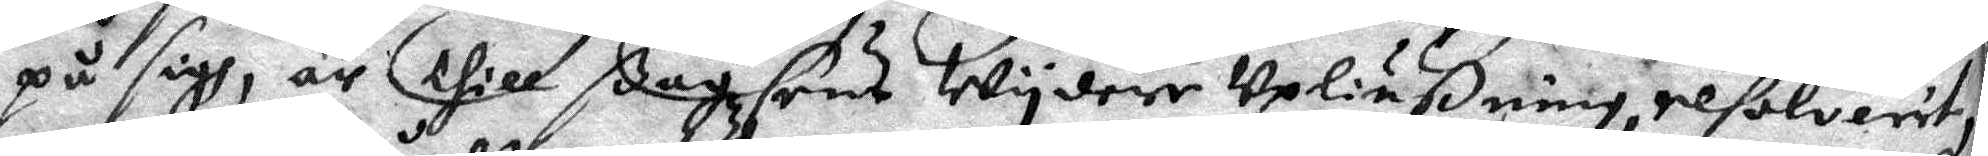på sigh, är thill ßagzens Wydere Upliußning resolverit,
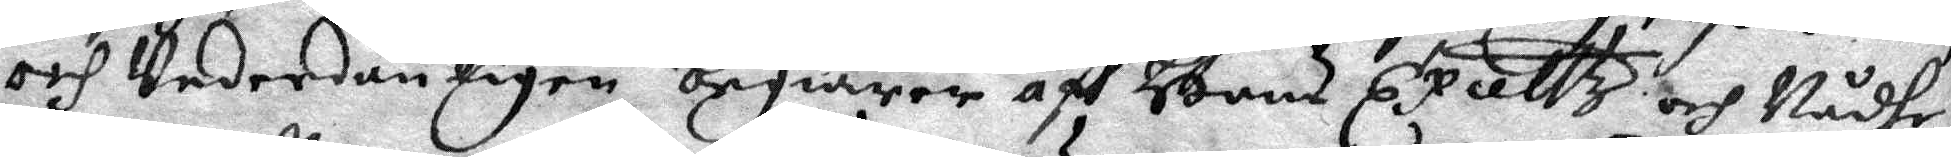och Underdånligen begiärer aff Hans Exelltz och Nådhe 
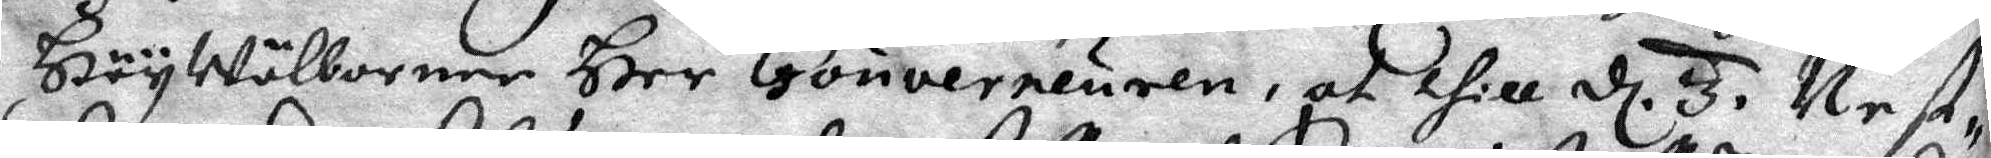Högwälbornen Her Gouverneuren, at thill d 3. Nest¬ 
